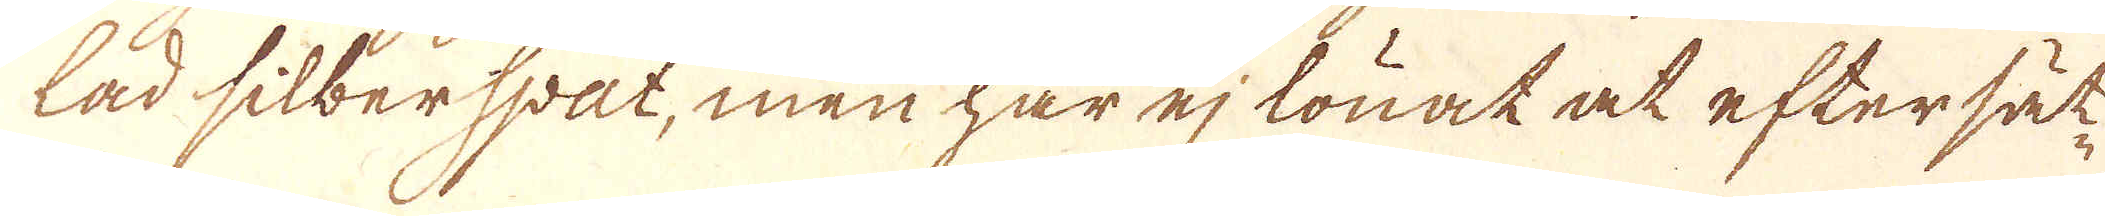lad silberspat, men har ej lönat at eftersät-
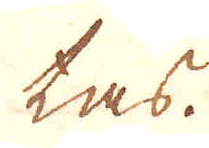tas.
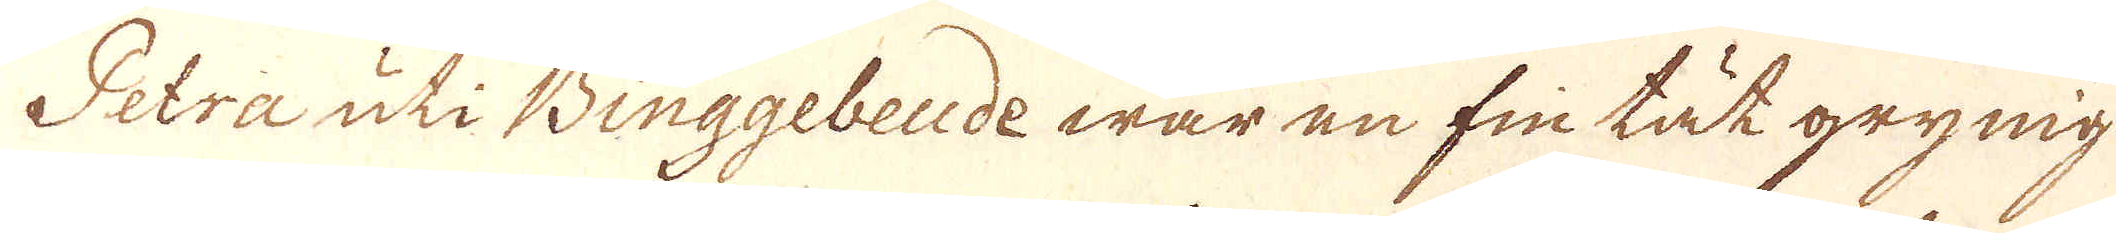Petra uti Binggebeude war en fin tät grynig
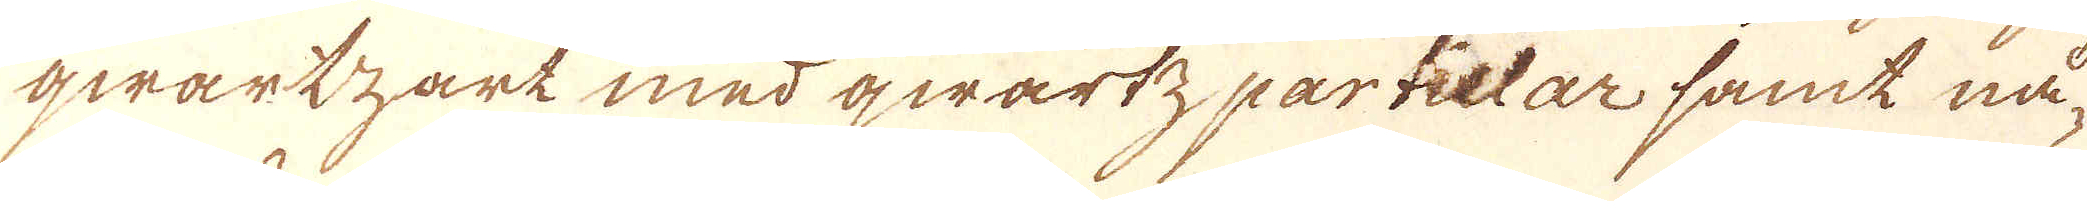qwartzart med qwartz partietar samt nå-
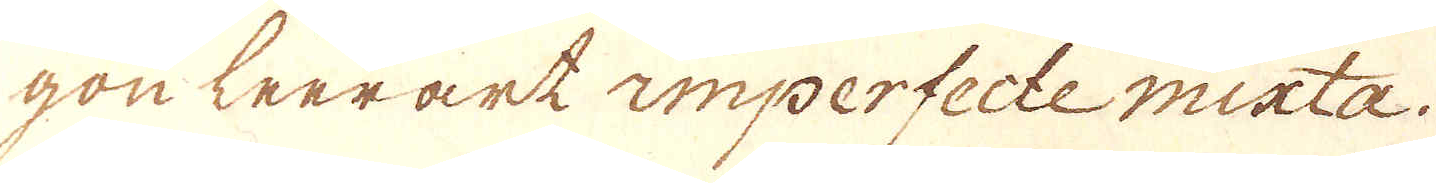gon leerärk imperfecte micta.
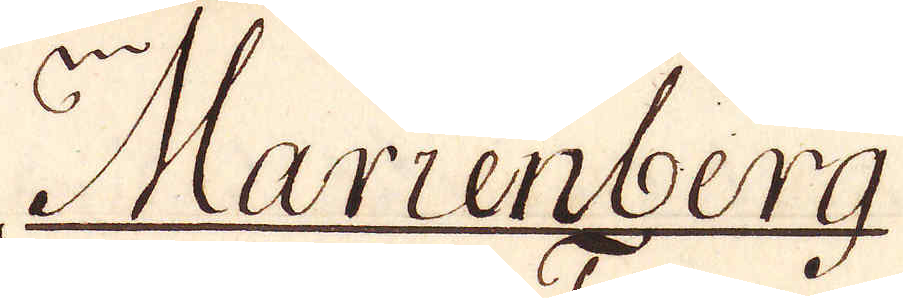Marienberg
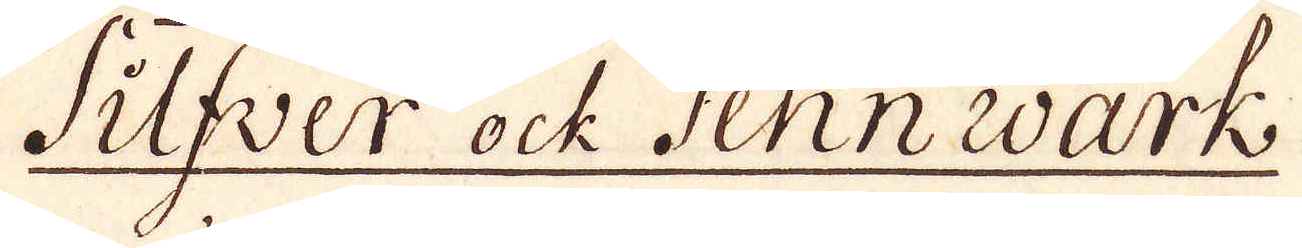Silfver ock Tennevärk.
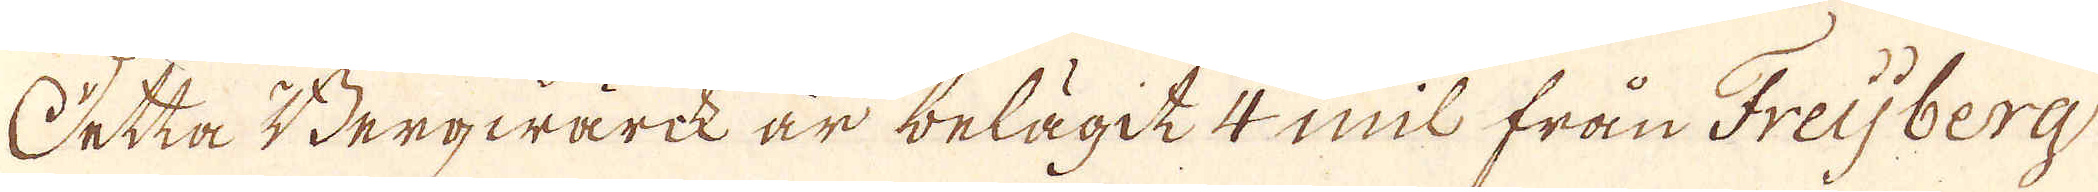Detta Bergwärk är belägit 4 mil från Freijberg
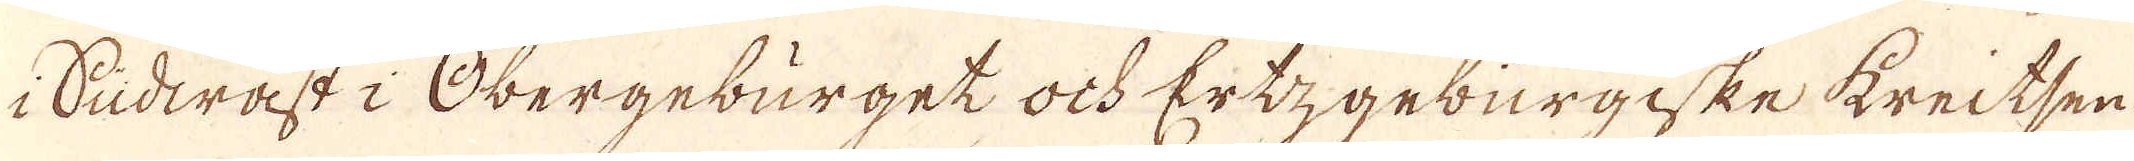i Sudwast i Obergebürget ock Ertzgeburgiske kreitsen
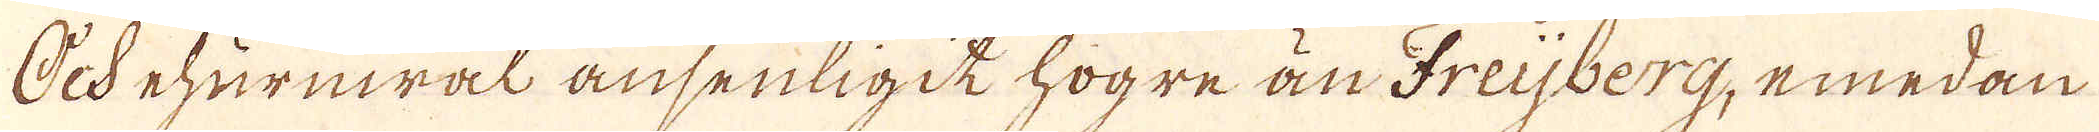Och ehuruwäl ansenligit högre än Freijberg, emedan
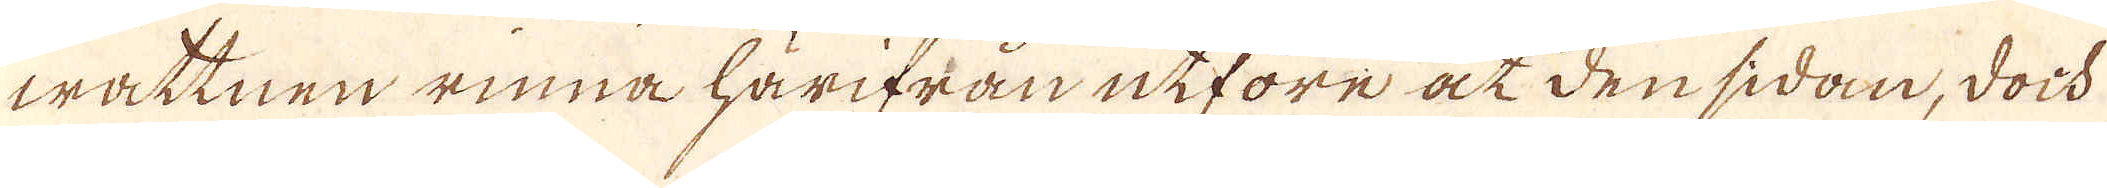wattnen rinna härifrån utföre åt den sidan, doch
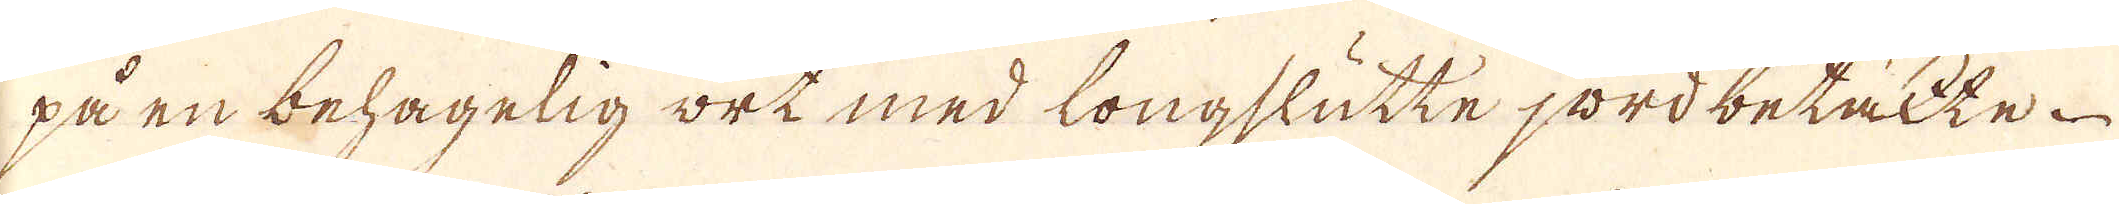på en behagelig ort med longslutte jordbetäcke
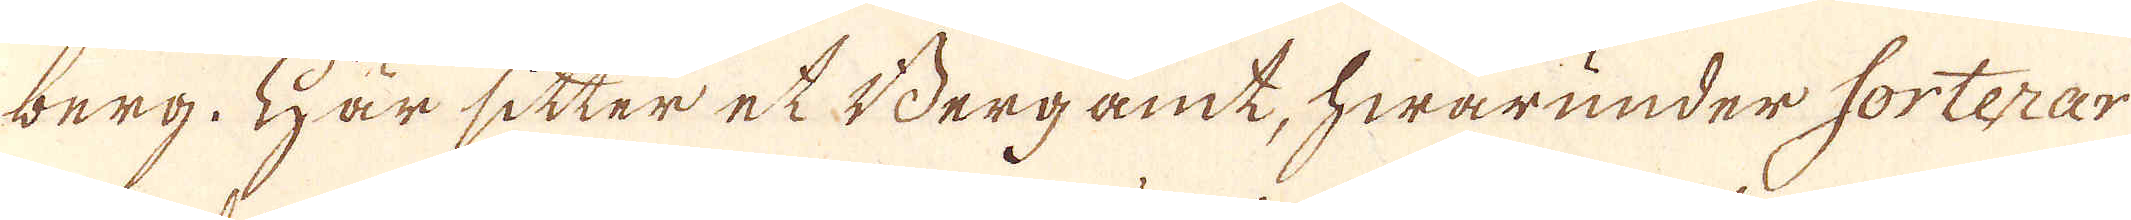berg. Här sitter et Bergamt, hwarunder forterar
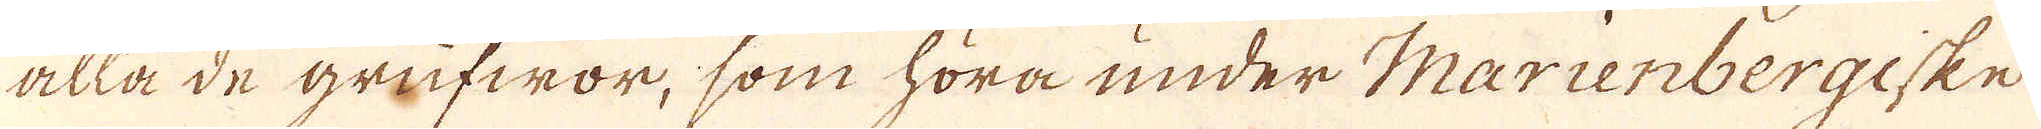alla de grufwor, som höra under Marienbergiske
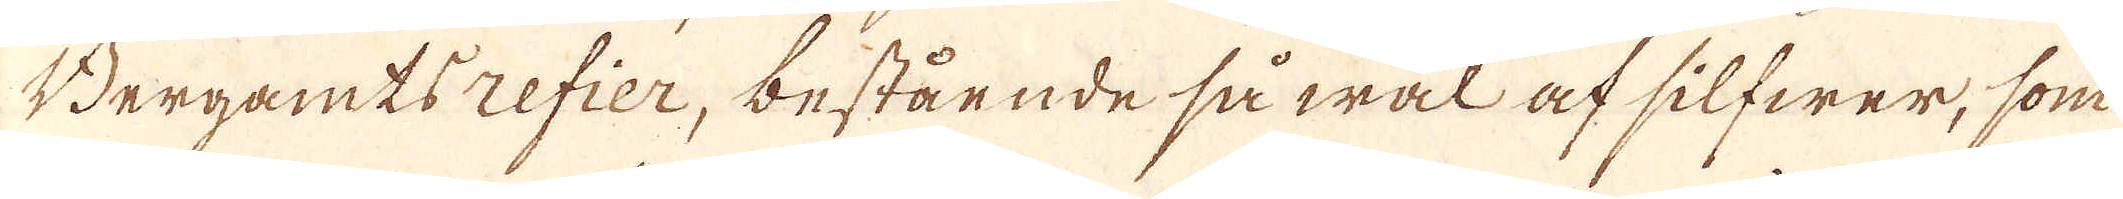Bergamtsrefier, bestående så wäl af silfwer, som
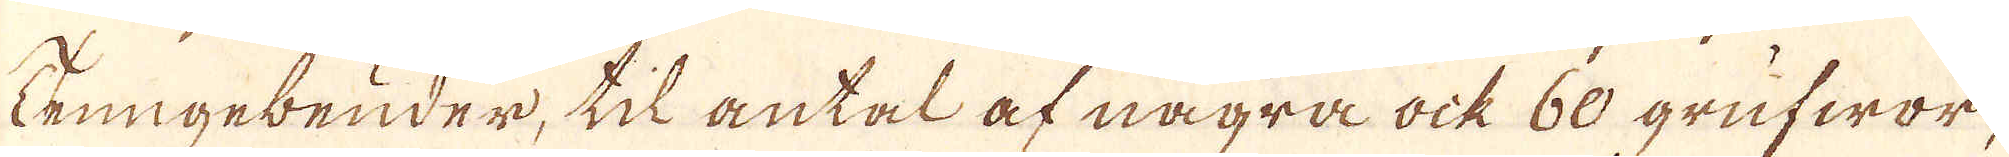Zrungebeuder, til antal af några ock 60 grufwor,
